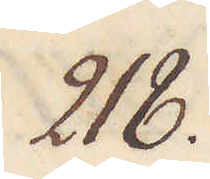218.
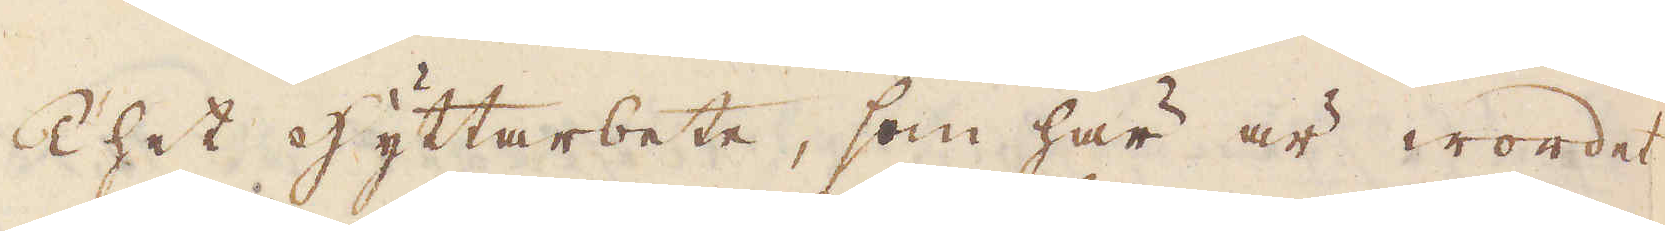Thet hyttarbete, som här är wordet
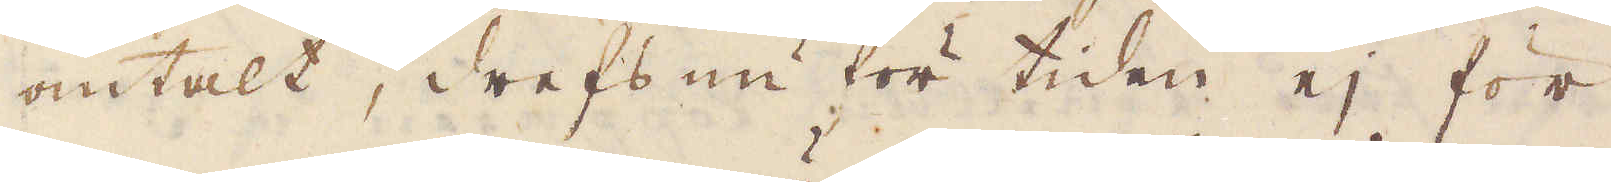omtalt, drefs nu för tiden ej för
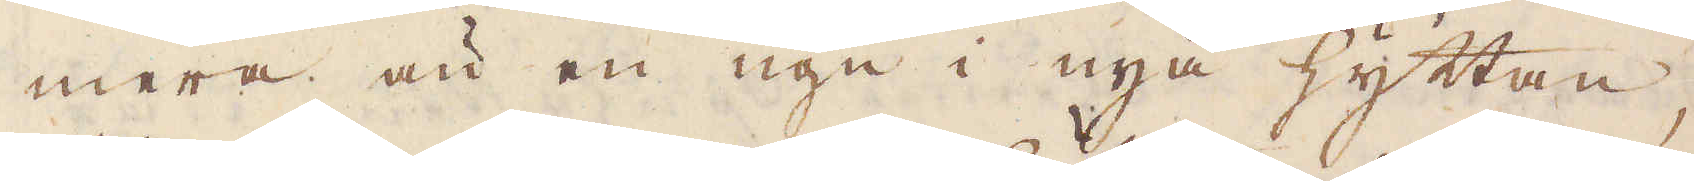mera än en ugn i nya hyttan;
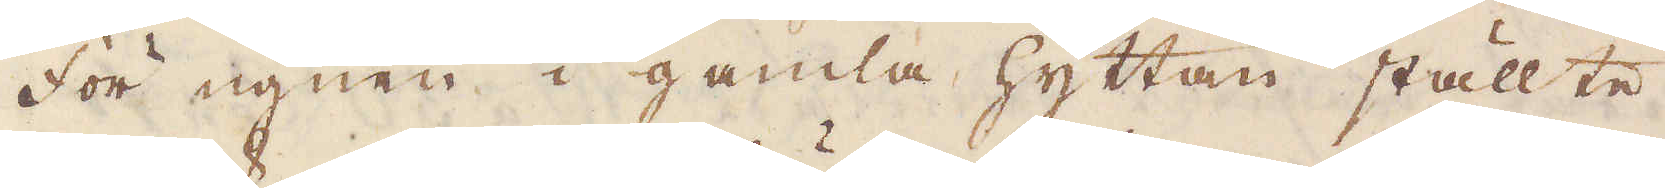För ugnen i gamla hyttan ställte
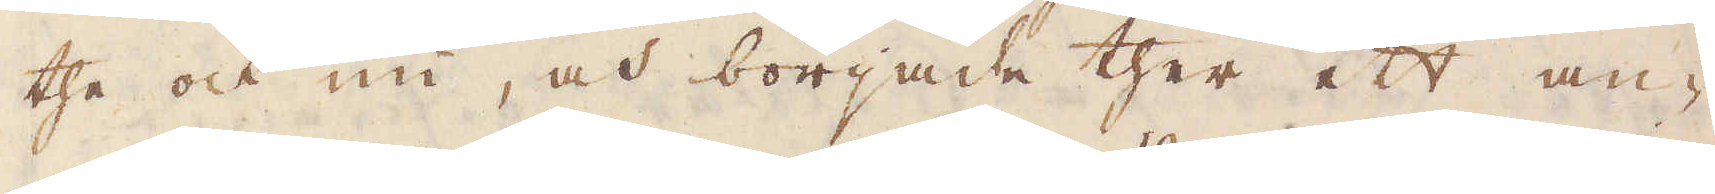the och nu, och började ther ett an-
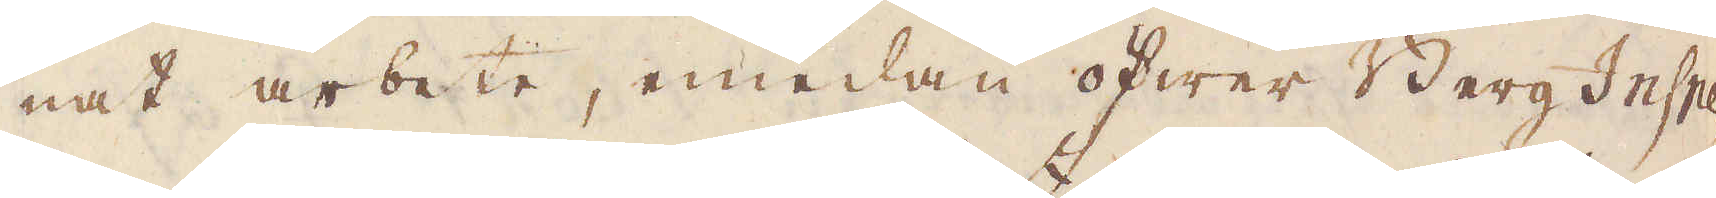nat arbete, emedan öfwer BergInspe-
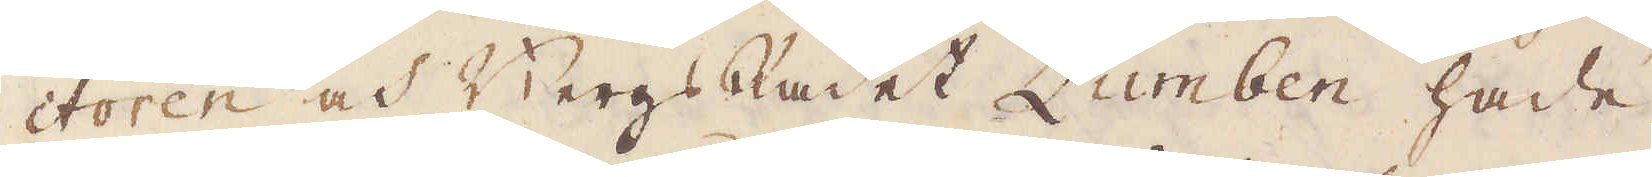ctoren och BergsRådet Zumben hade
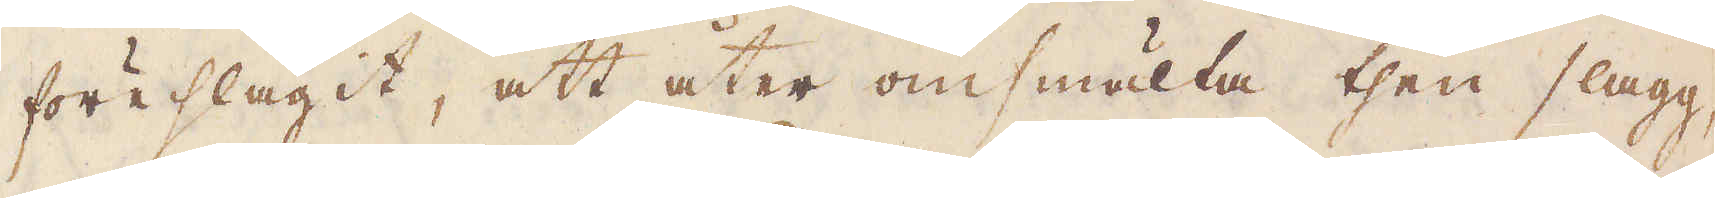föreslagit, att åter omsmälta then slagg,
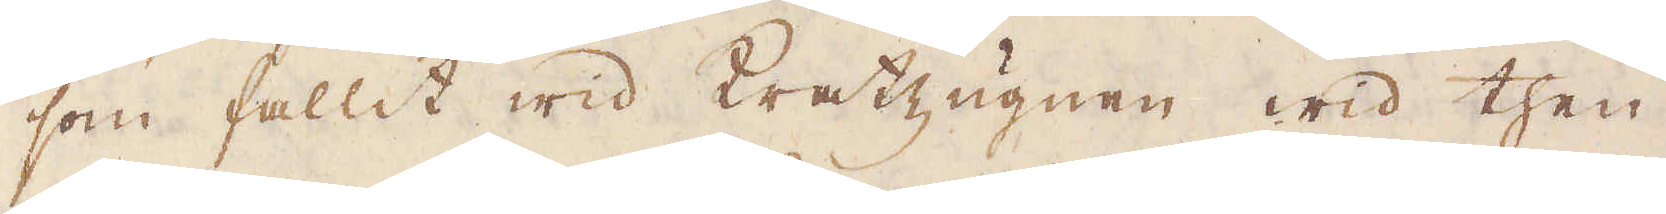som fallit wid Kratzugnen wid then
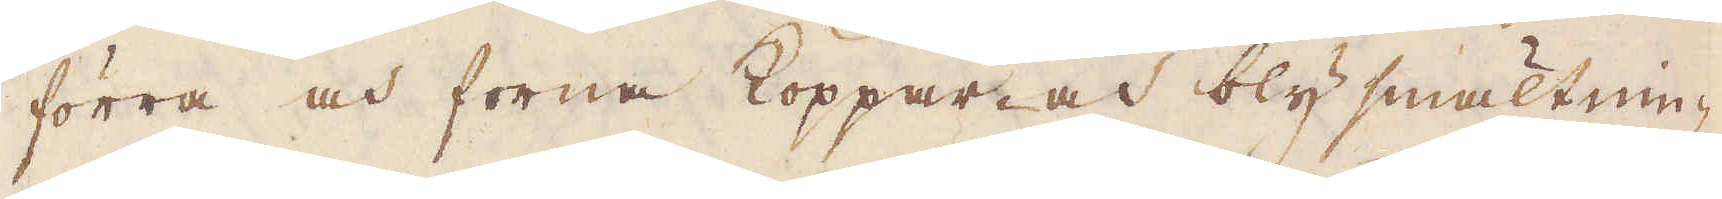förra och forna Koppar- och blysmältnin-
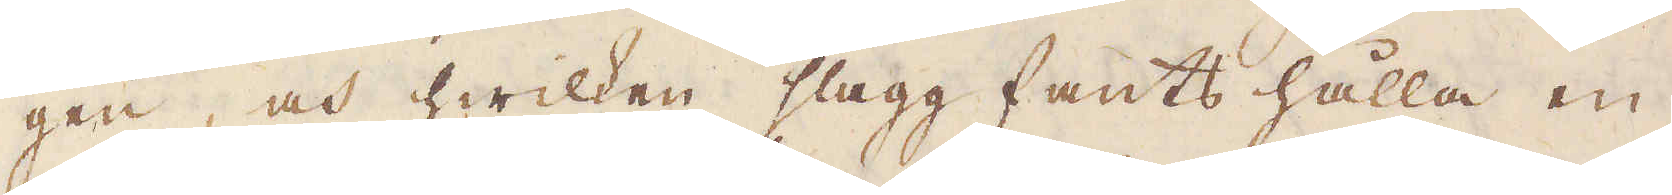gen, och hwilken slagg fants hålla en
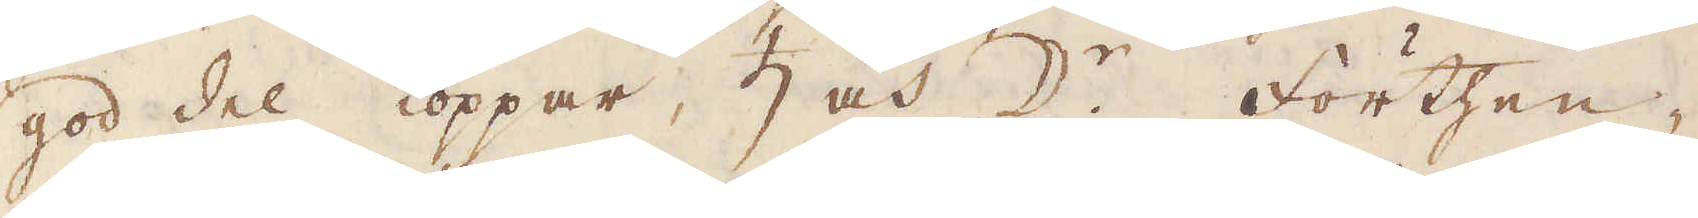god del koppar, ♄ och ☽:r förthen-
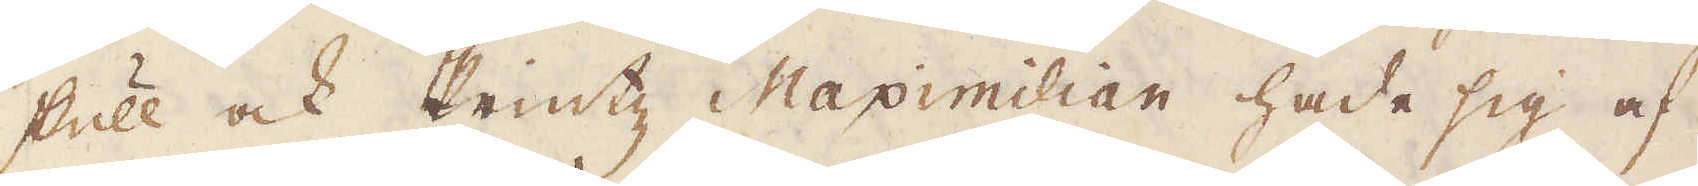skull ock Printz Maximillian hade sig af
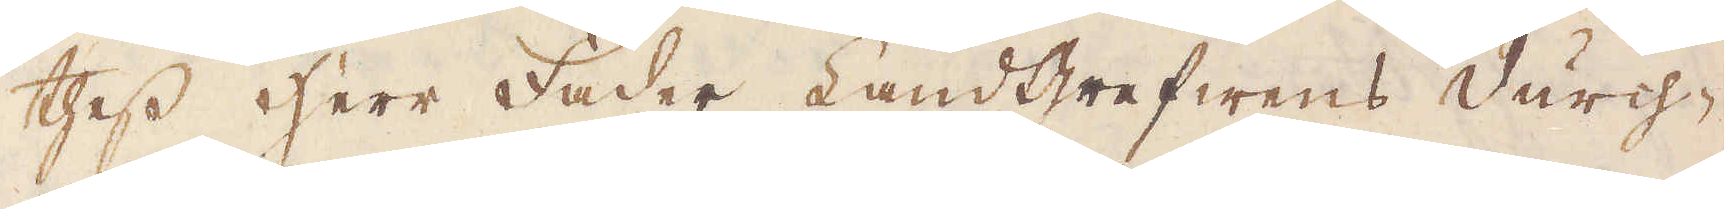thess herr Fader Landgrefwens durch-
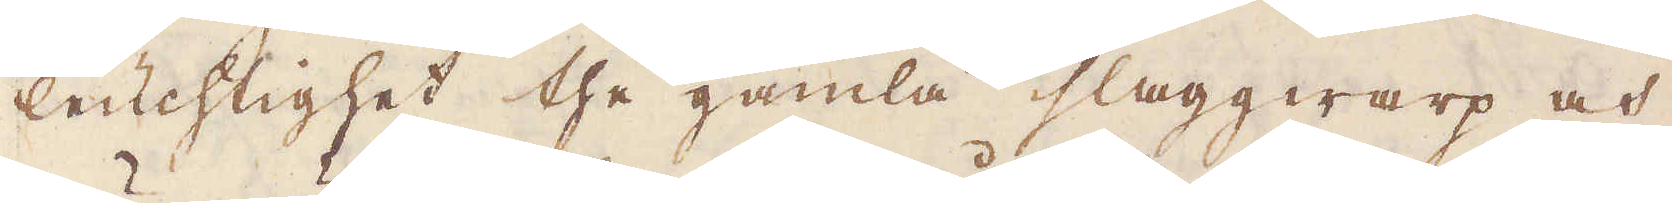leuchlighet the gamla slaggwarp och
